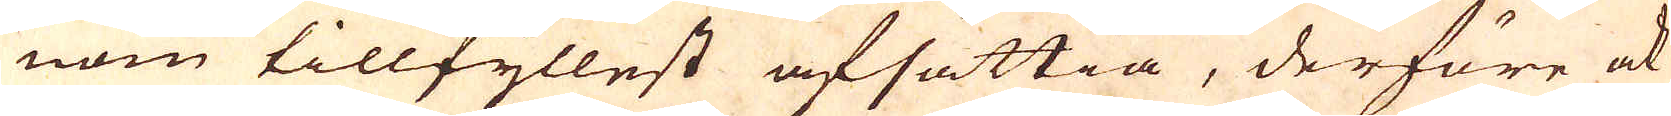nom tillfyllest afsättia, derföre ock
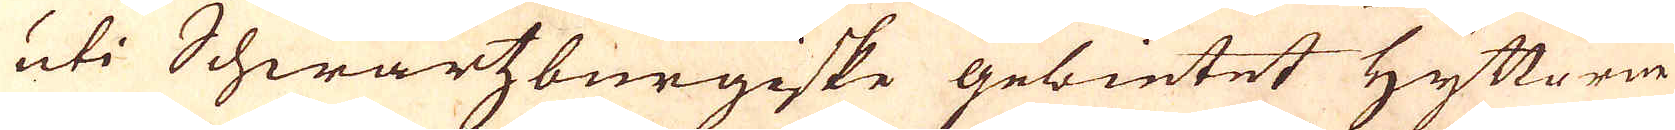uti Schwartzburgiske gebietet Hyttorne
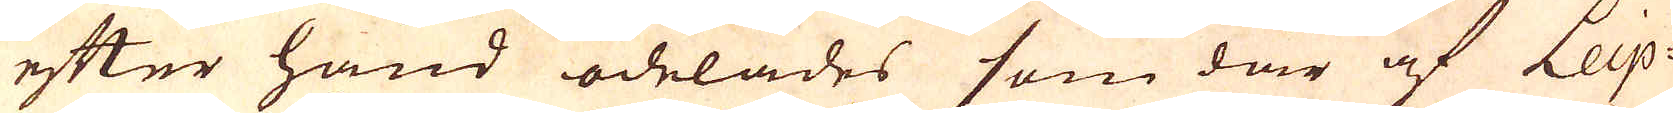efter hand ödelades som där af Leip-
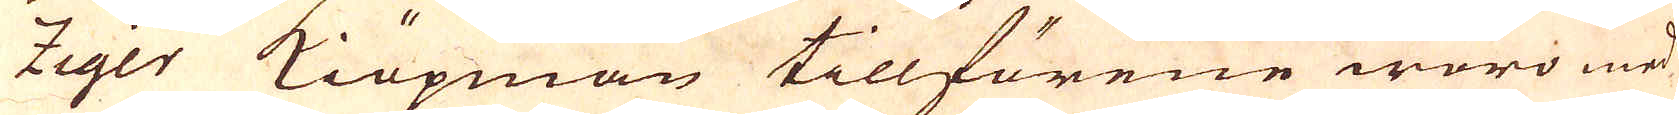ziger Kiöpman tillförene woro med
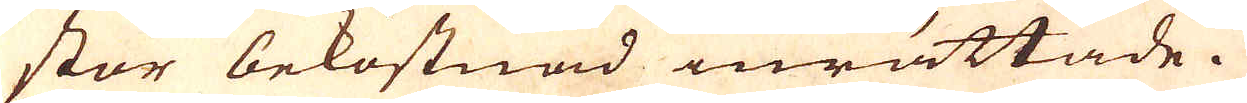stor bekostnad inrättade.
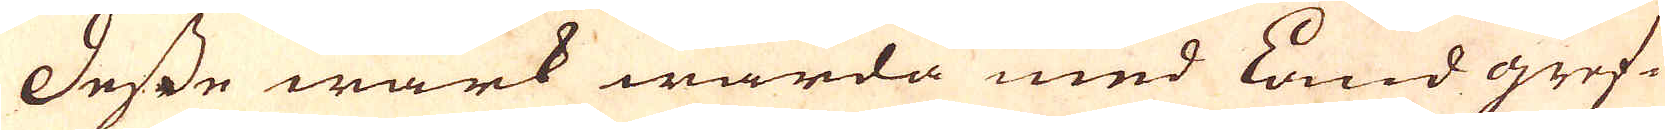Desse wärk warda med Land gref-
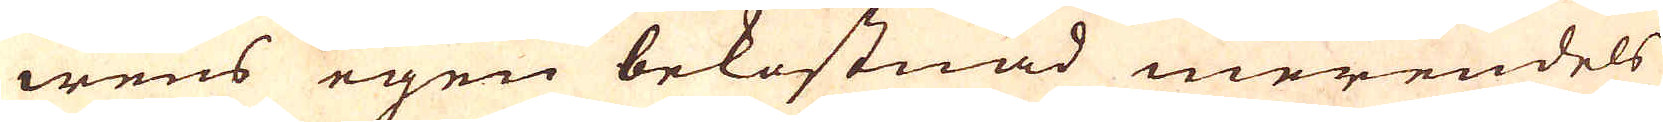wens egen bekostnad merendels
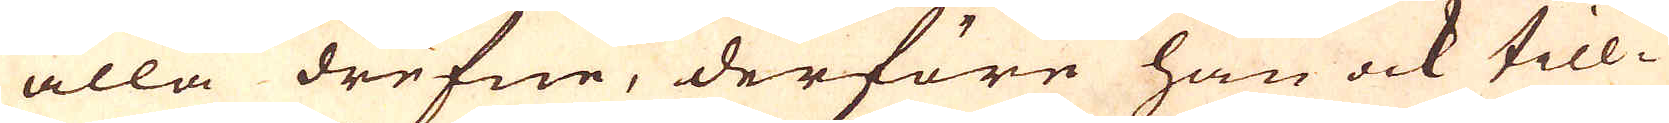alla drefne, derföre han ock till-
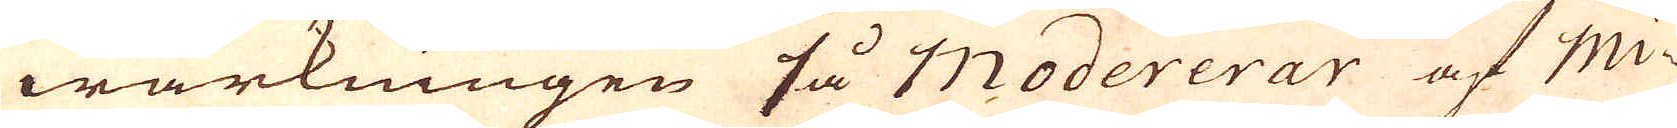wärkningen så Modererar af Mi-
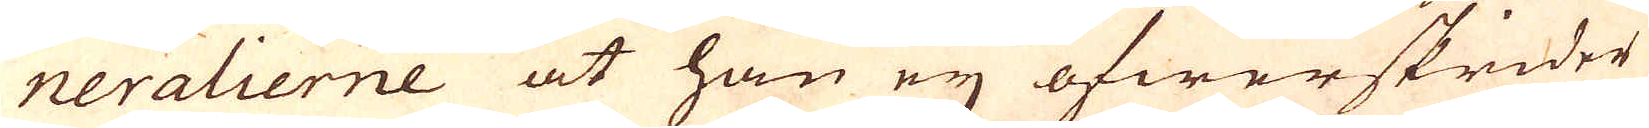neralierne at han eij öfwerskrider
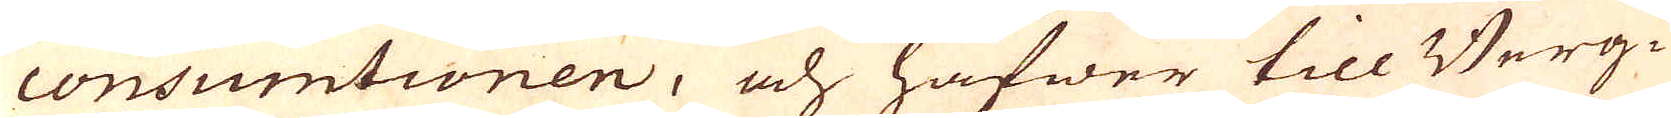consumtionen, och hafwer till Berg-
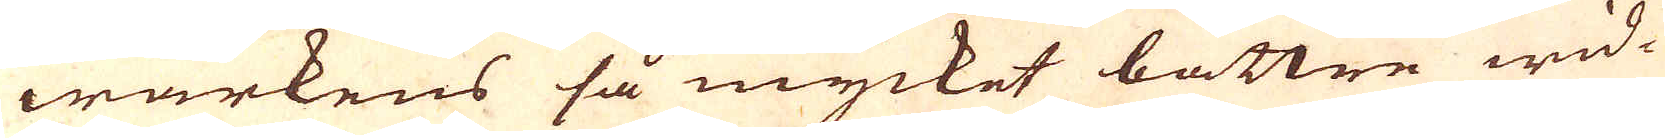wärkens så mycket bättre wid-
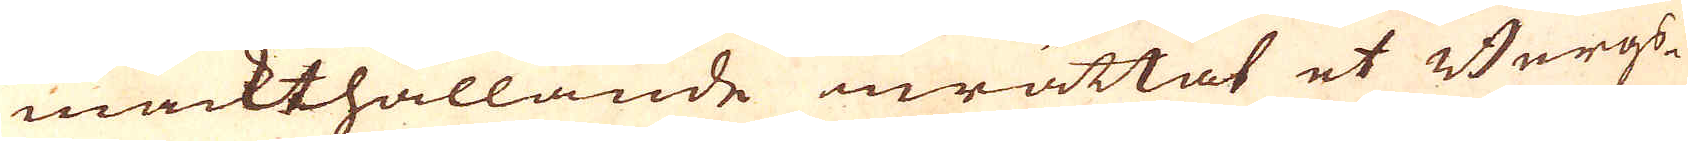mäckthållande inrättat et Bergs-
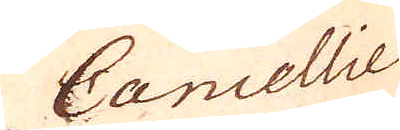Cancellie
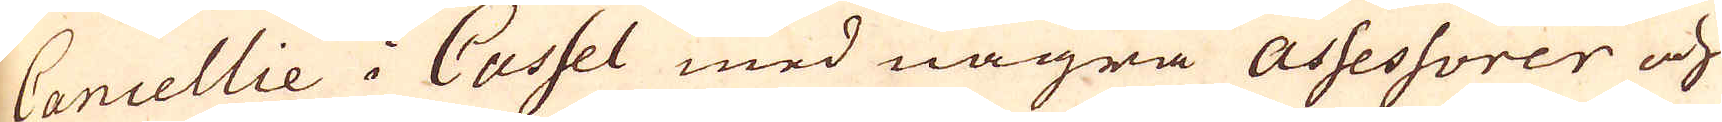Cancellie i Cassel med några Assessorer och
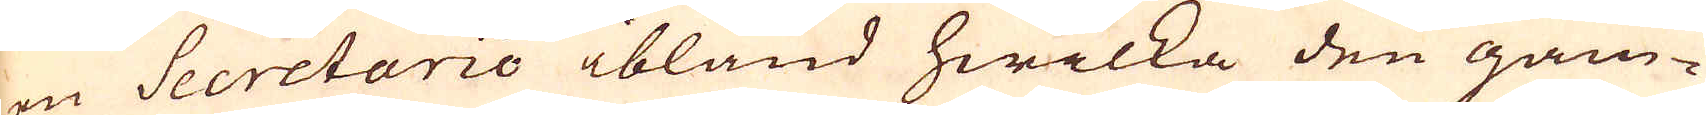en Secretario ibland hwilka den gam-
